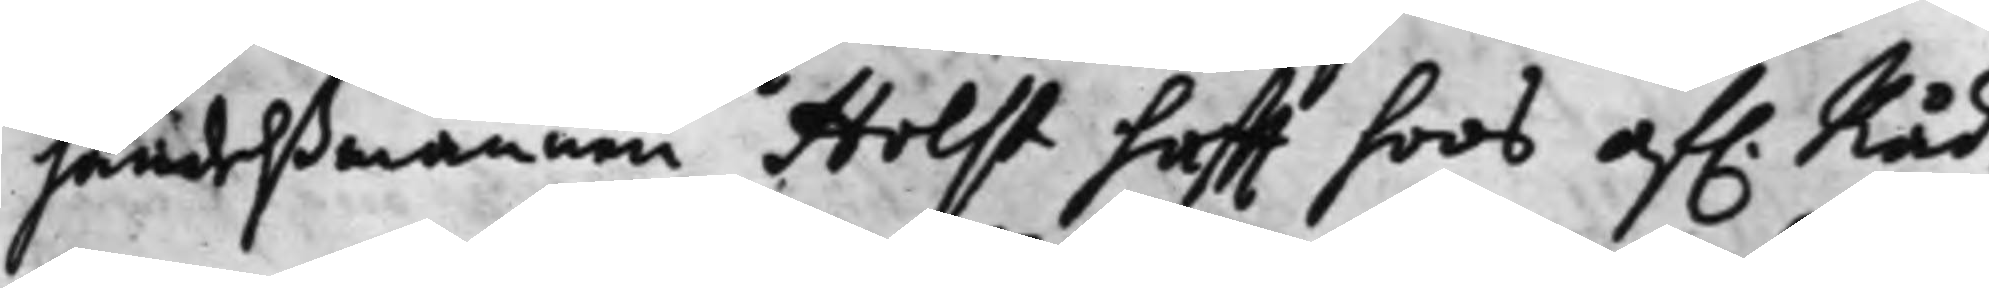handelßmannen Holst hafft hoos af. Råd¬
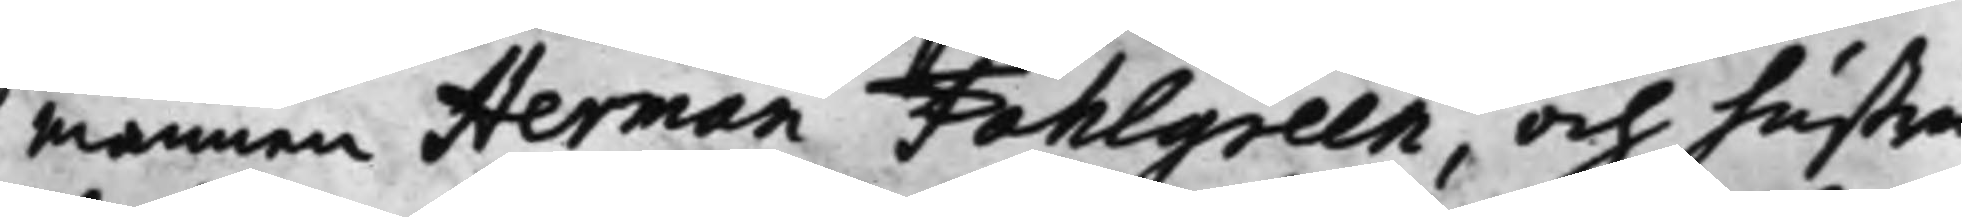mannen Herman Fahlgreen, och hustru
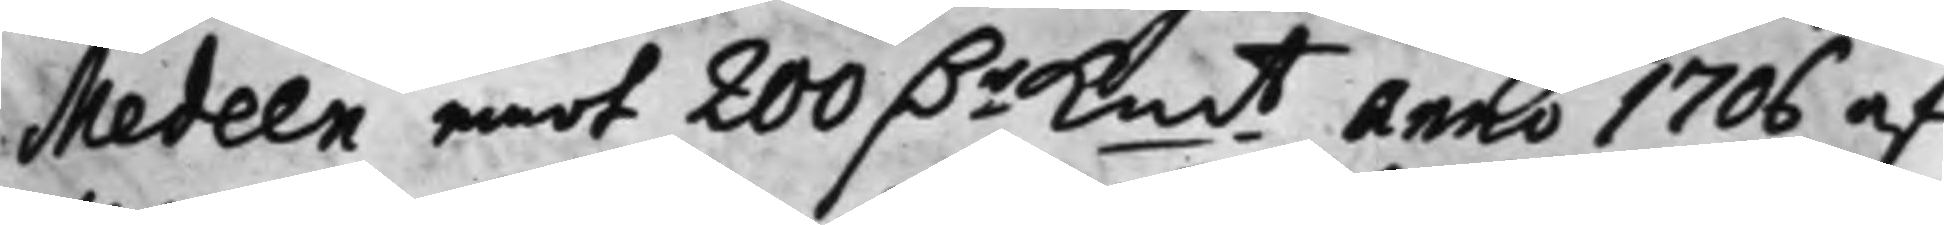Medeen emot 200 D.r K.mt Anno 1706 af
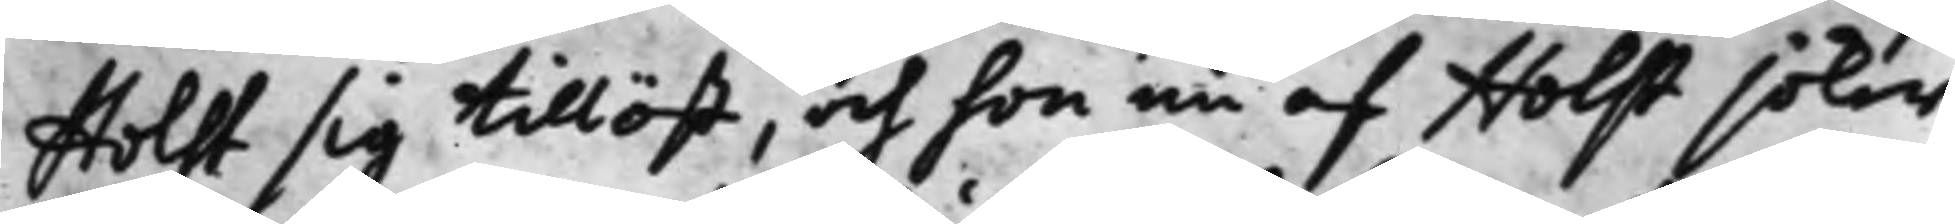Holst sig tillöst, och hon nu af Holst söker
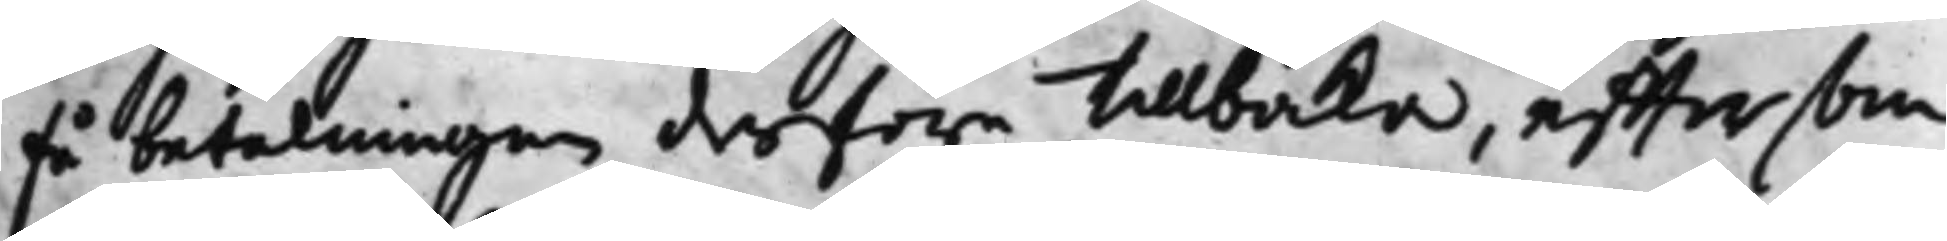få betalningen derföre tillbaka, efftersom
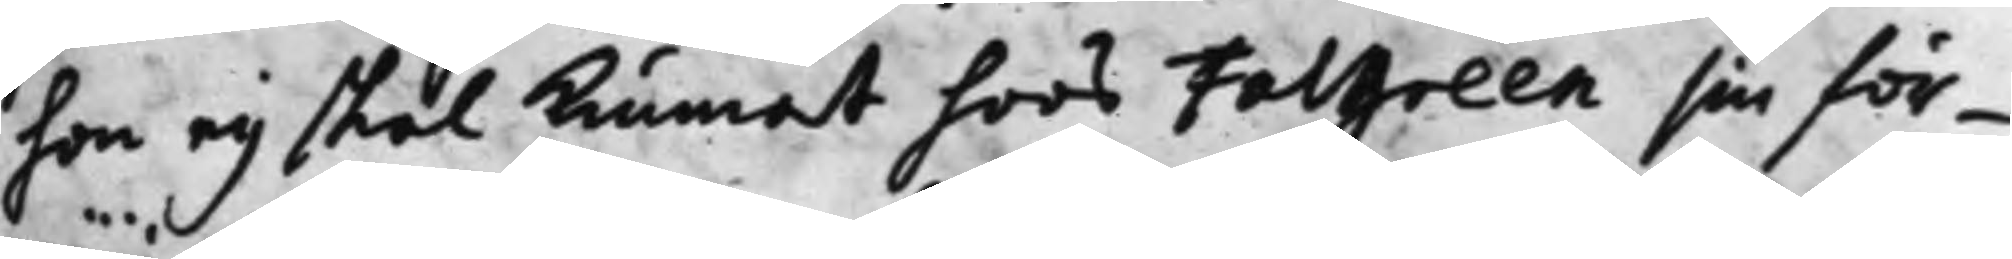hon ey skal kunnat hoos Falgreen sin för¬
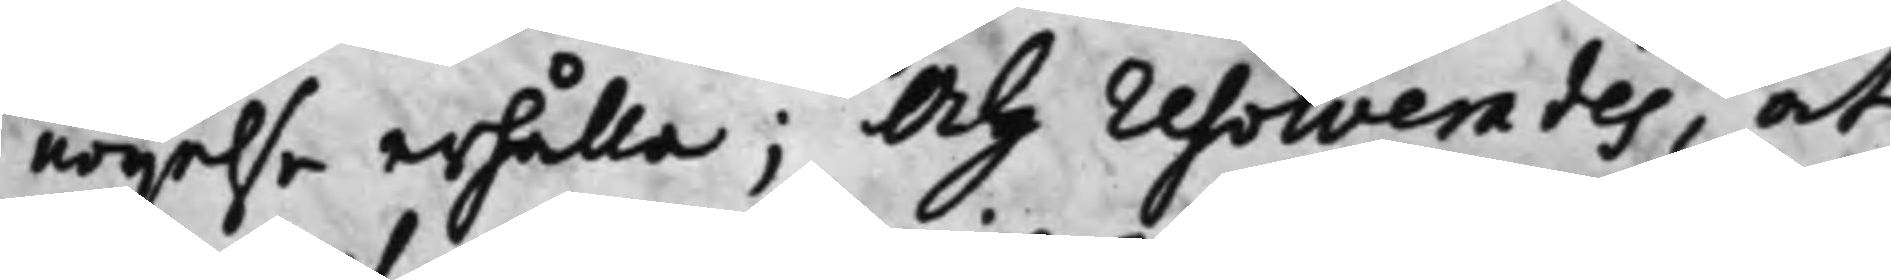nöijelse erhålla; Och resolverades, at
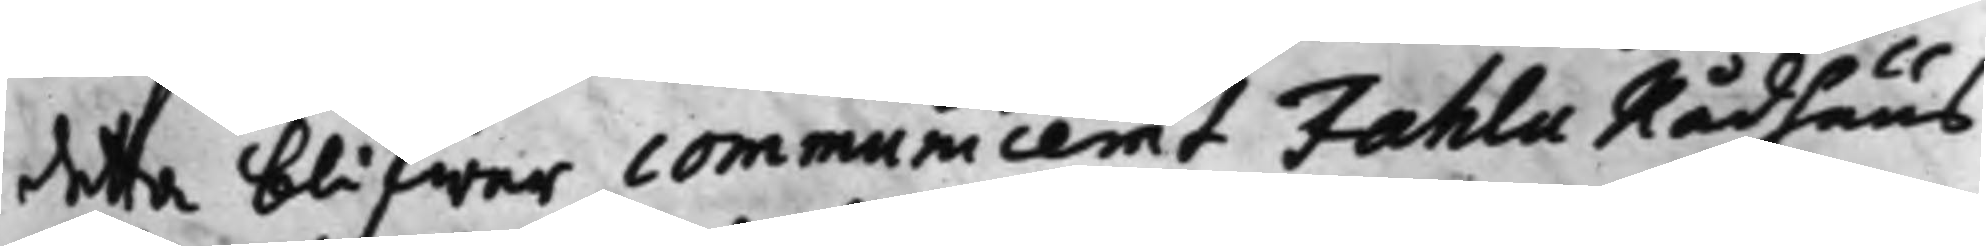detta blifwer communicerat Fahlu Rådhuus
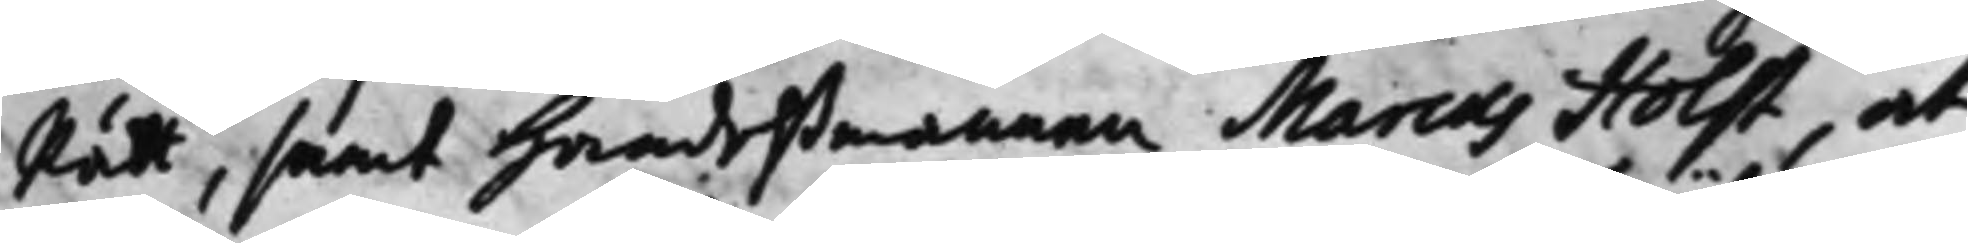Rätt, samt Handelßmannen Marcus Holst, at
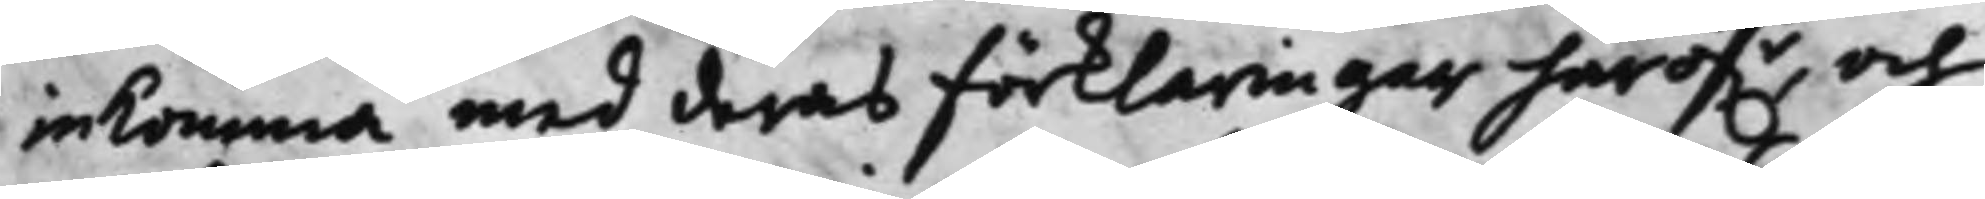inkomma med deras Förklaringar häröf.r, och
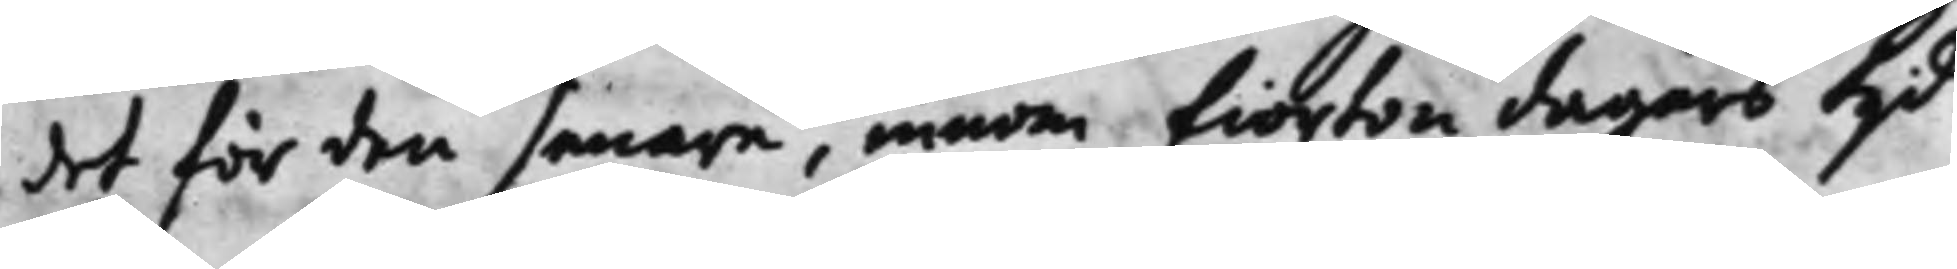det för den senare, innom fiorton dagars tijd
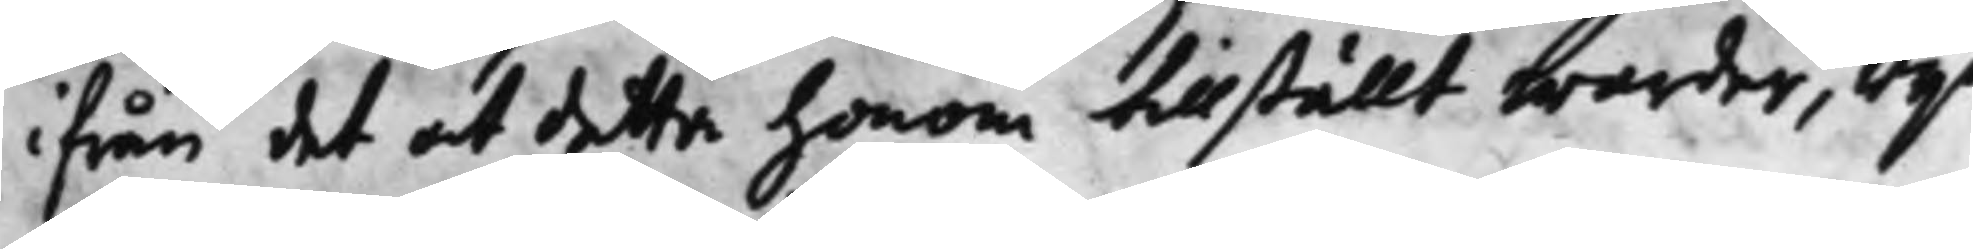ifrån det att detta honom tillställt warder, wijd
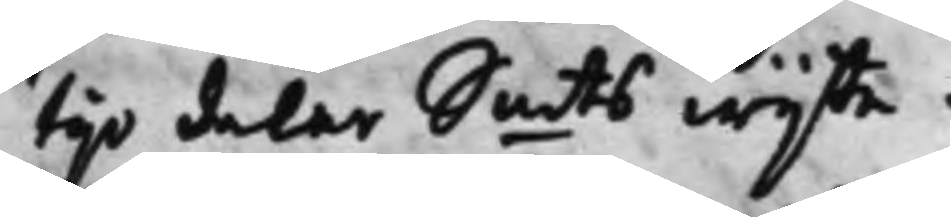tijo daler S.mts wijte.
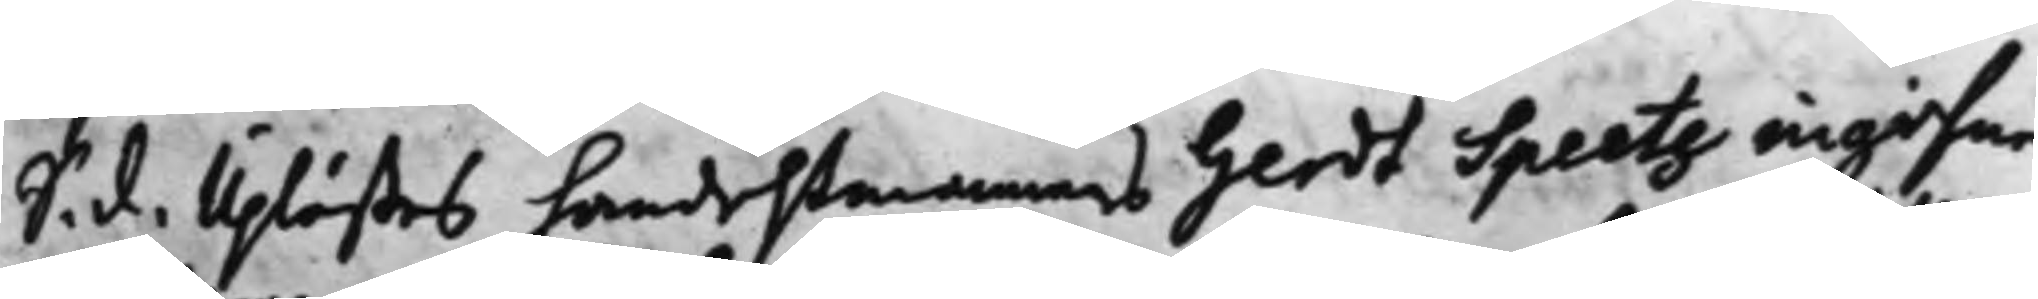S. d. Uplästes handelßmannens Gerdt Speetz ingifne
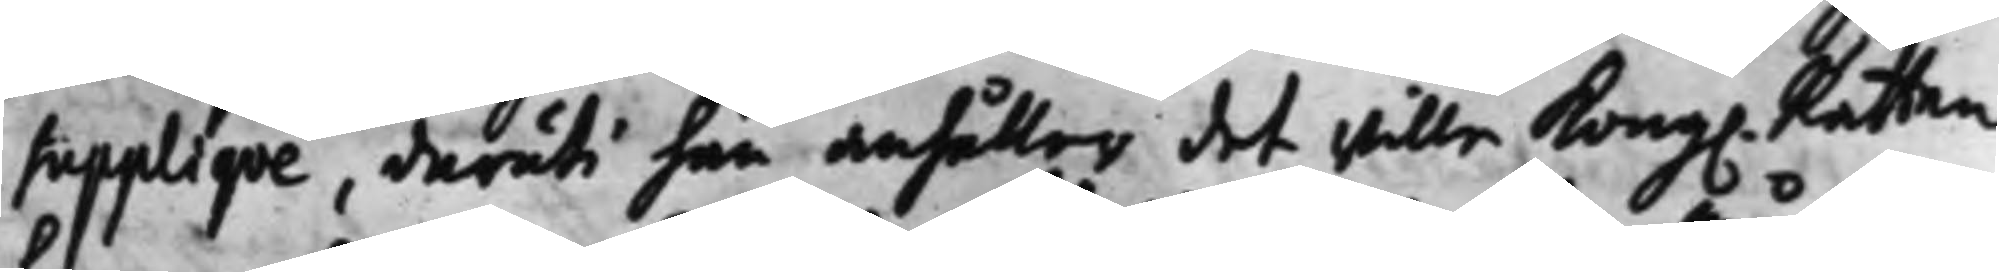Supplique, deruti han anhåller det wille Kong. Rätten
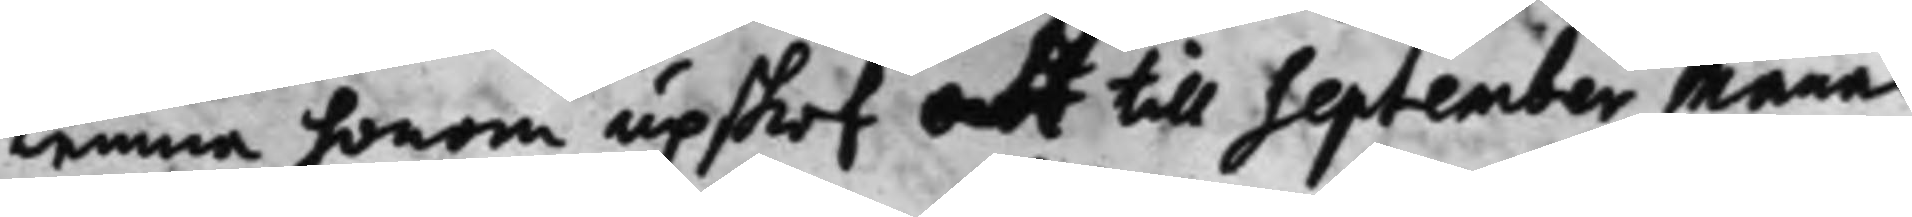Lemna honom upskof att till September Månad
